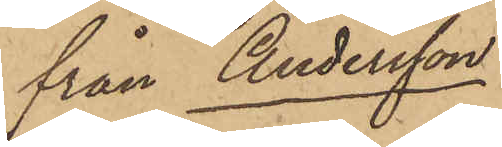från Andersson
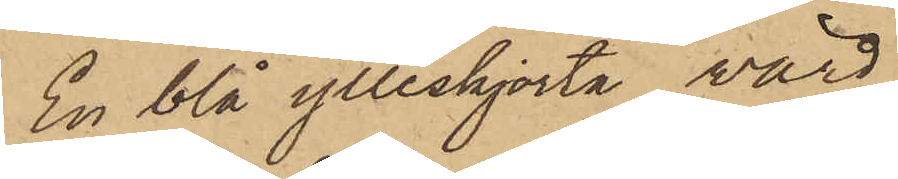En blå ylleskjorta, värd
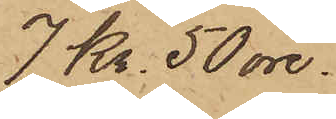7 Kr. 50 öre.
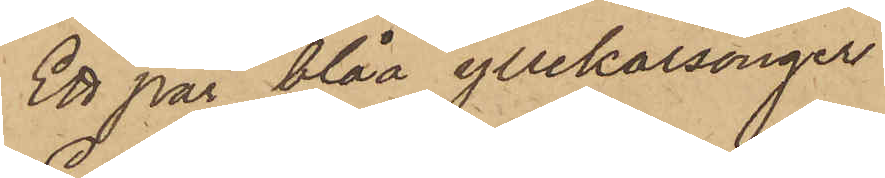Ett par blåa yllekalsonger
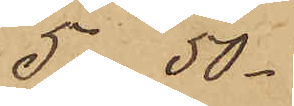5 - 50 -
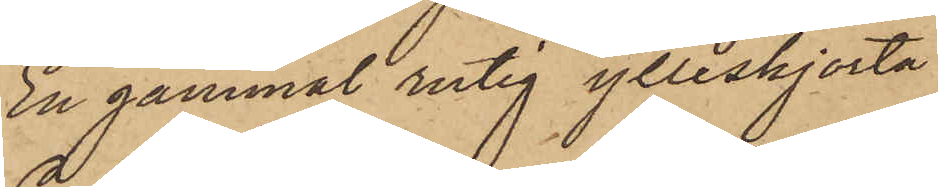En gammal rutig ylleskjorta
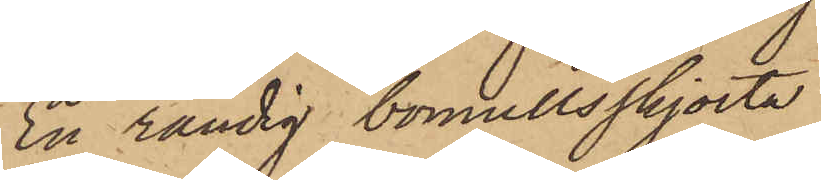En randig bomullsskjorta
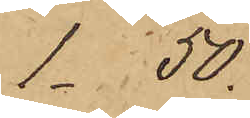1.50.
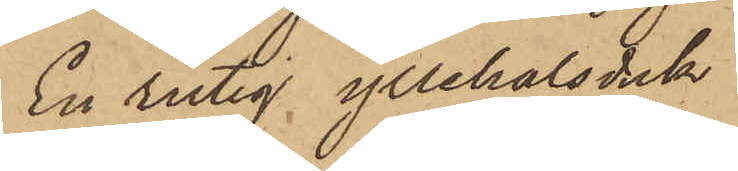En rutig yllehalsduk
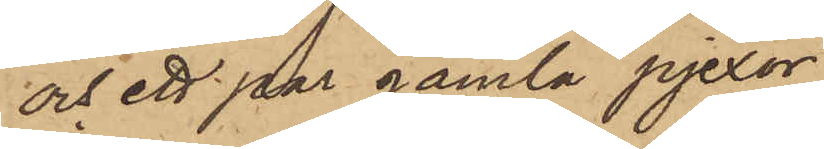och ett par gamla pjexor
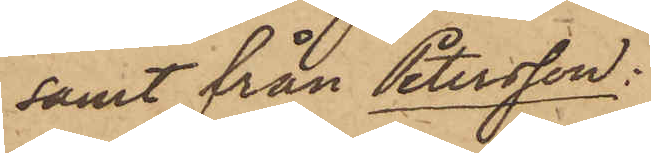samt från Petersson:
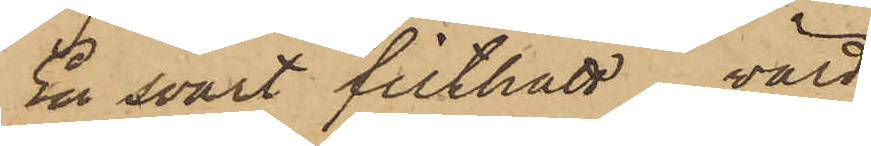En svart filthatt, värd
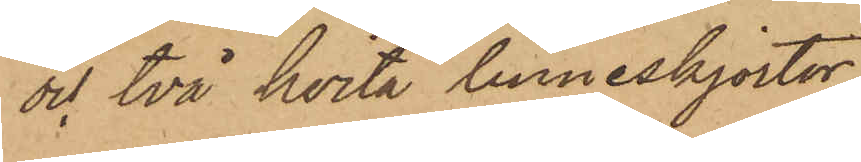och två hvita linneskjortor,
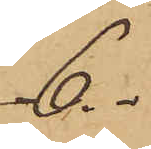6.
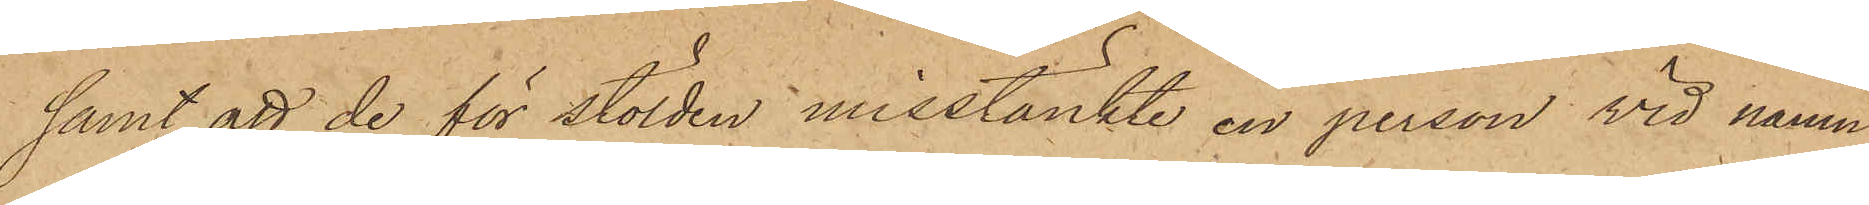samt att de för stölden misstänkte en person vid namn
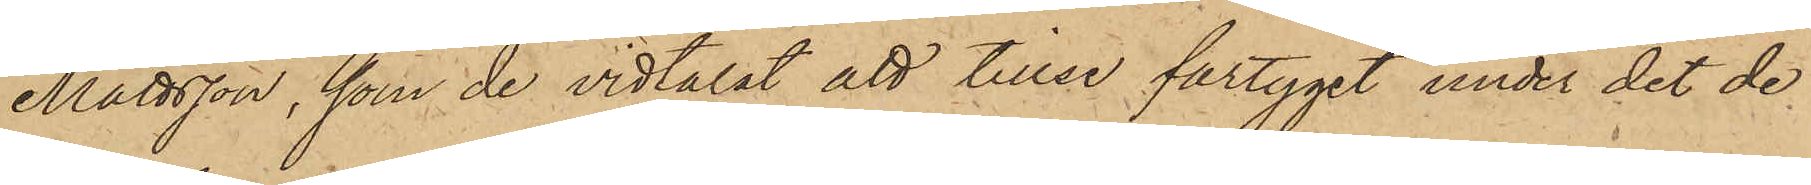Mattsson, som de vidtalat att tillse fartyget under det de
